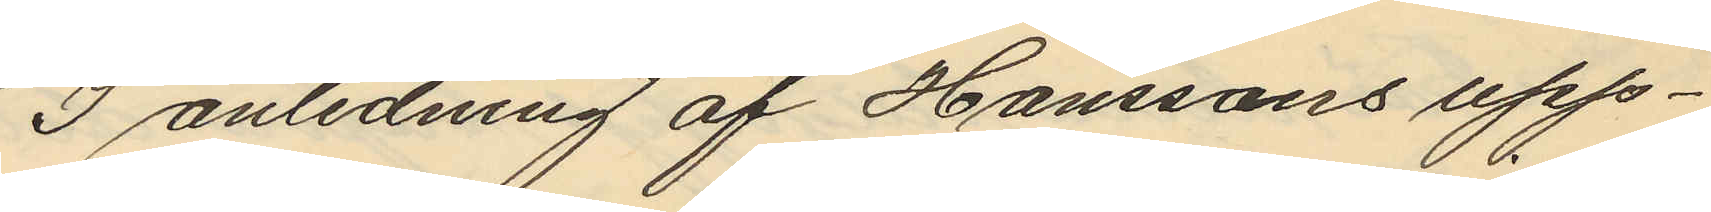I anledning af Hanssons upp¬
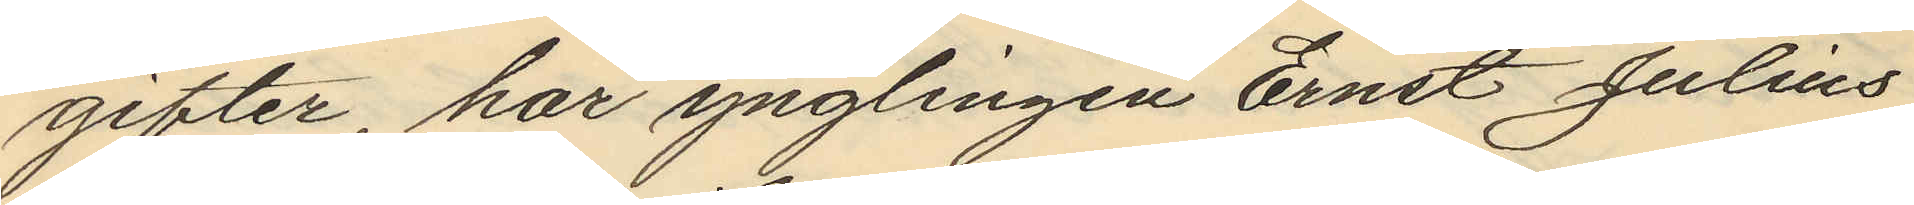gifter, har ynglingen Ernst Julius
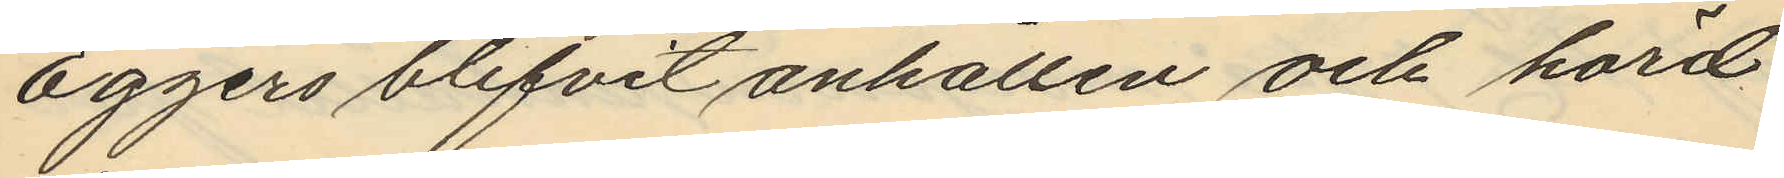Eggers blifvit anhållen och hörd
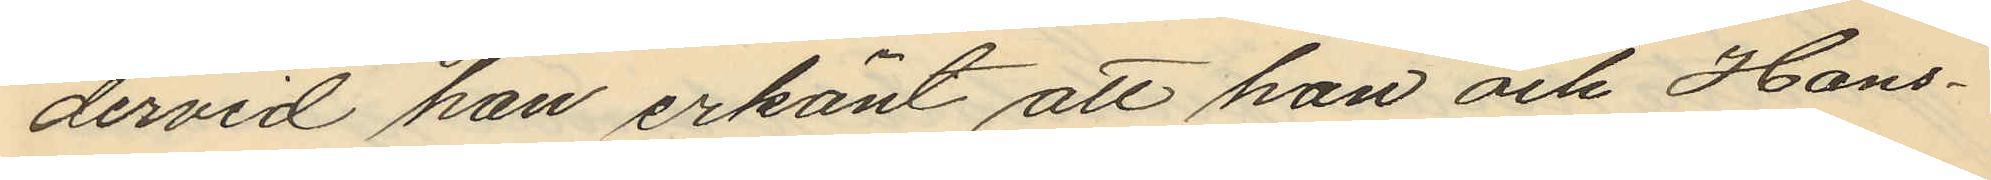dervid han erkänt att han och Hans¬
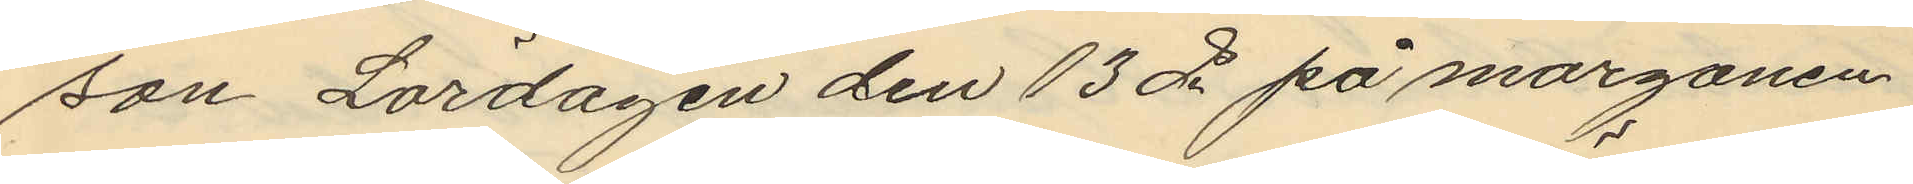son Lördagen den 13 ds på morgonen
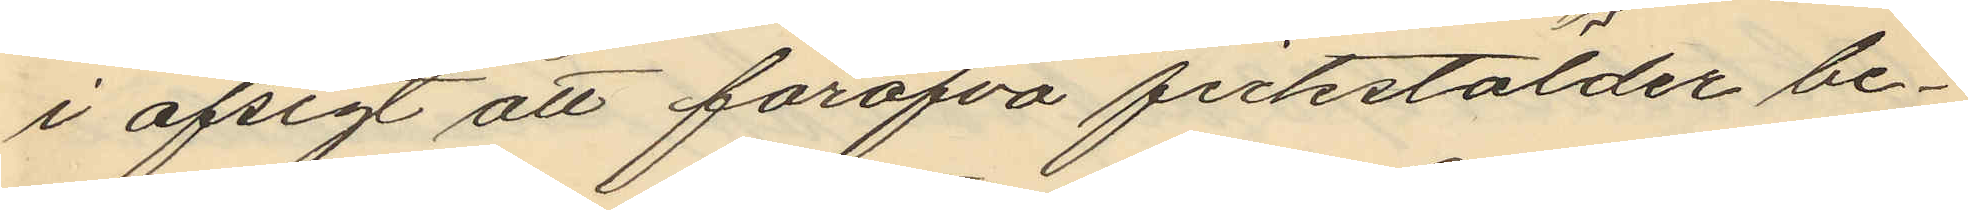i afsigt att föröfva fickstölder be¬
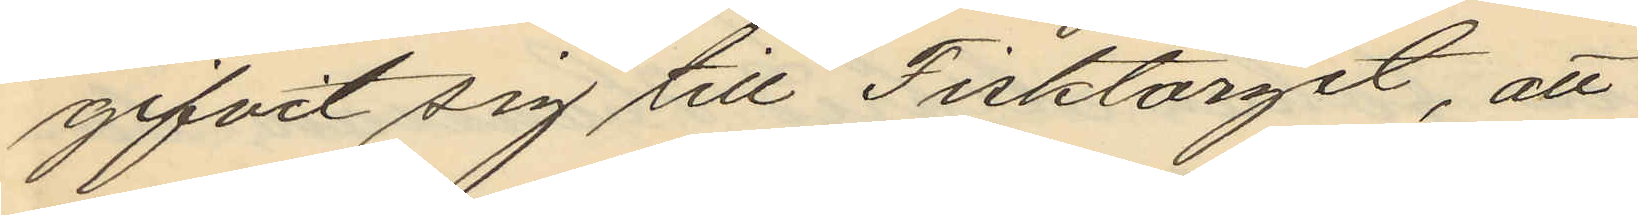gifvit sig till Fisktorget, att
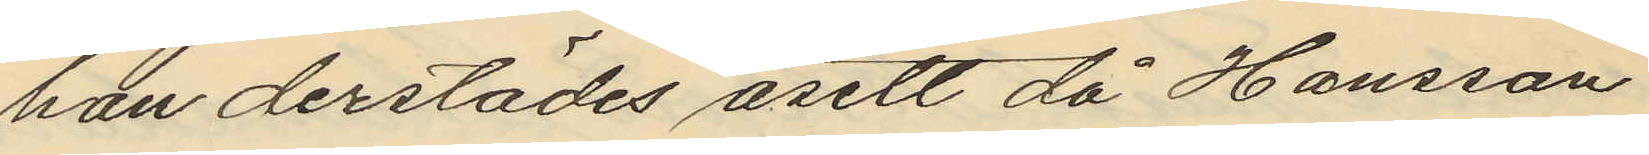han derstädes åsett då Hansson
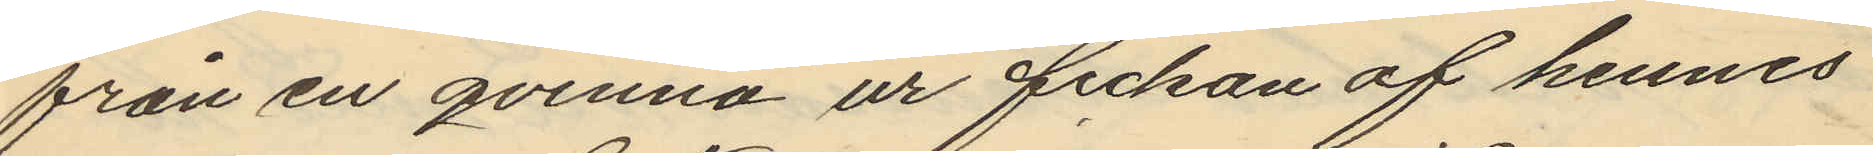från en qvinna ur fickan af hennes
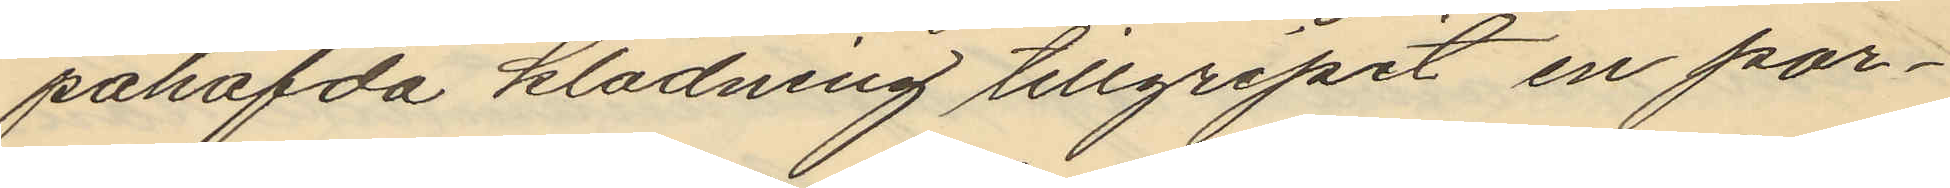påhafda klädning tillgripit en por¬
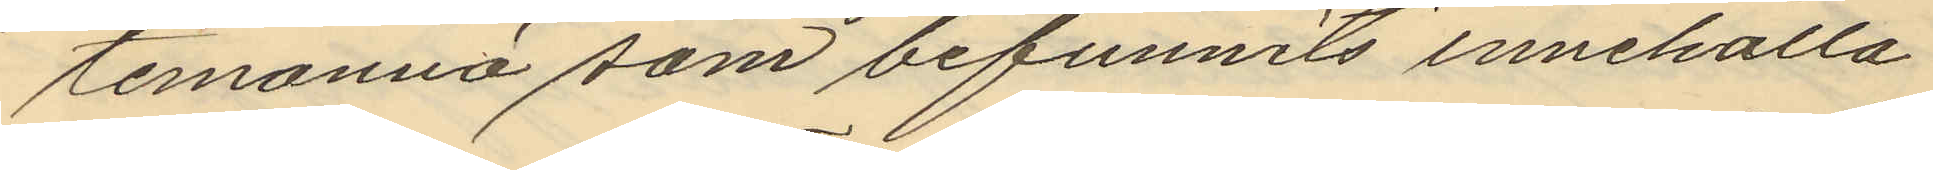temonnä som befunnits innehålla
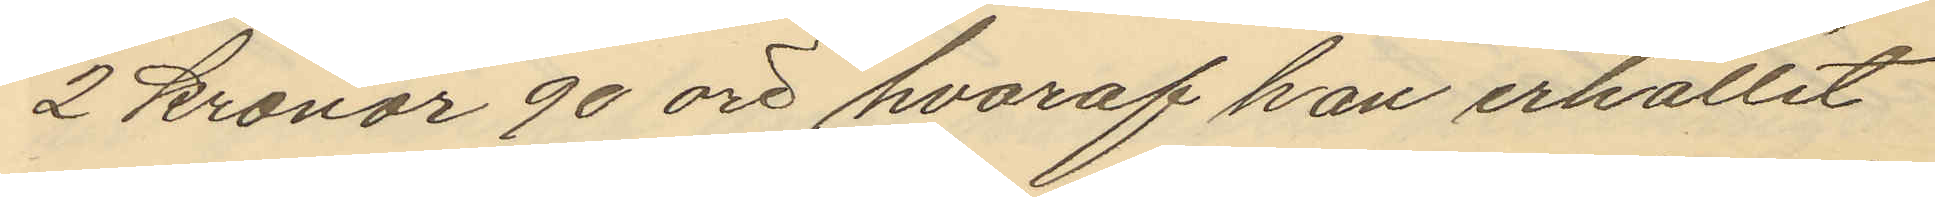2 kronor 90 öre hvaraf han erhållit
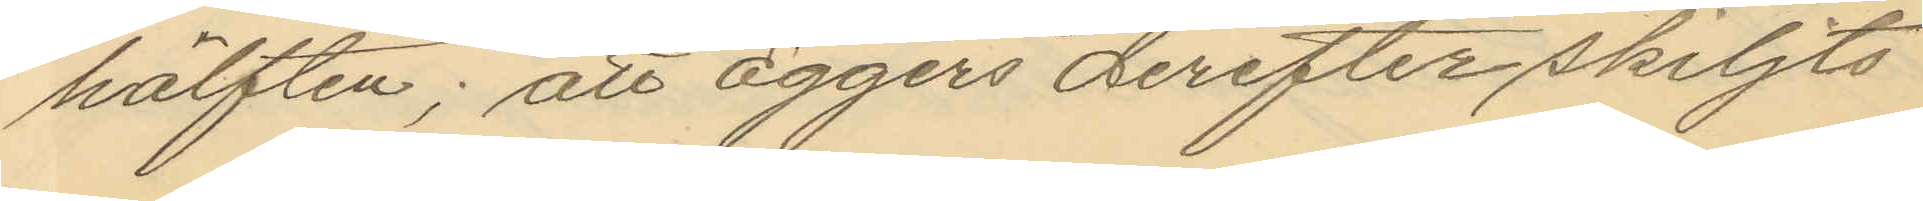hälften; att Eggers derefter skiljts
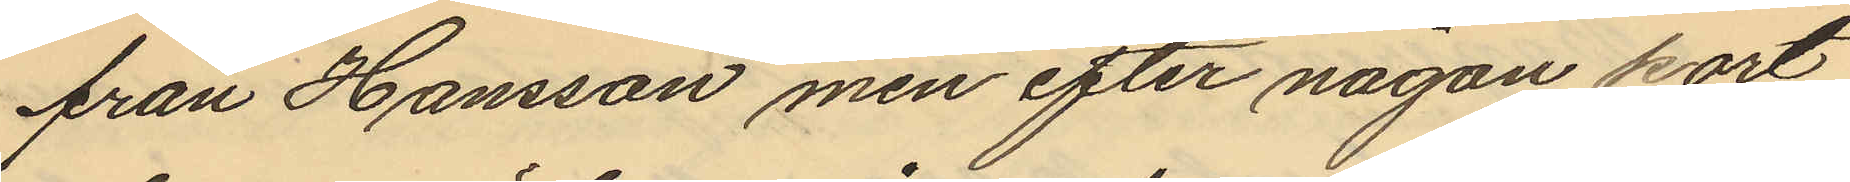från Hansson men efter någon kort
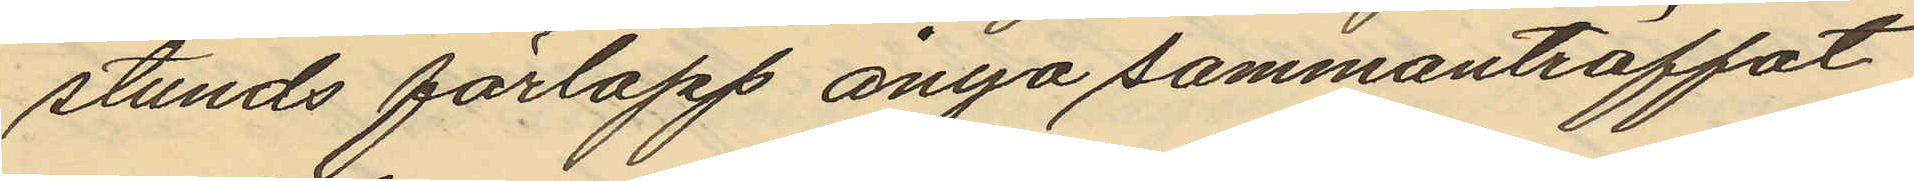stunds förlopp ånyo sammanträffat
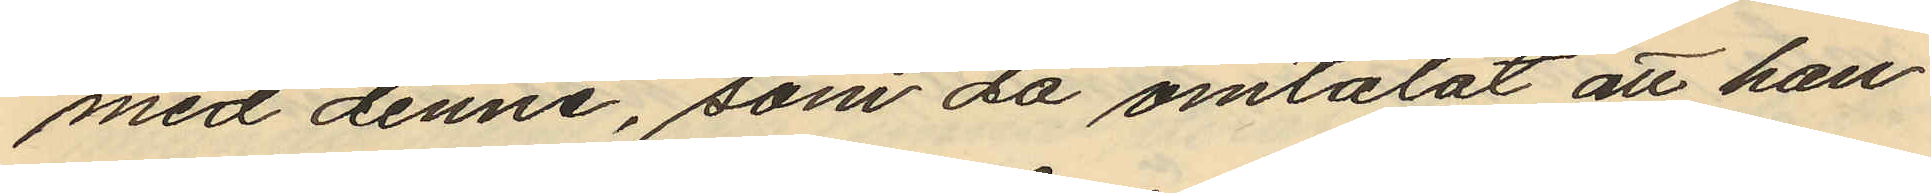med denne, som då omtalat att han
